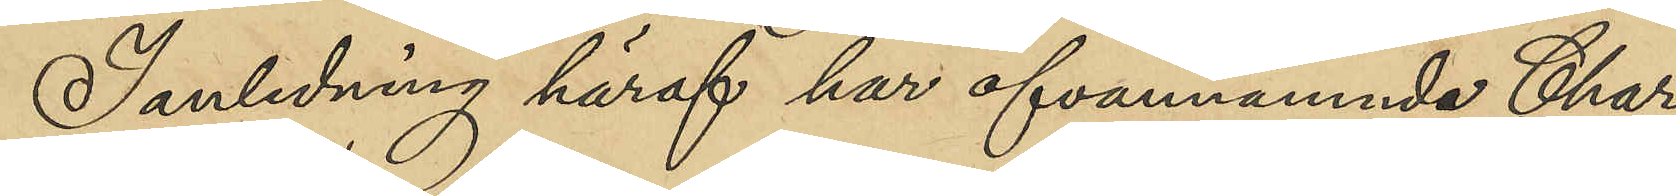I anledning häraf har ofvannämnda Char¬
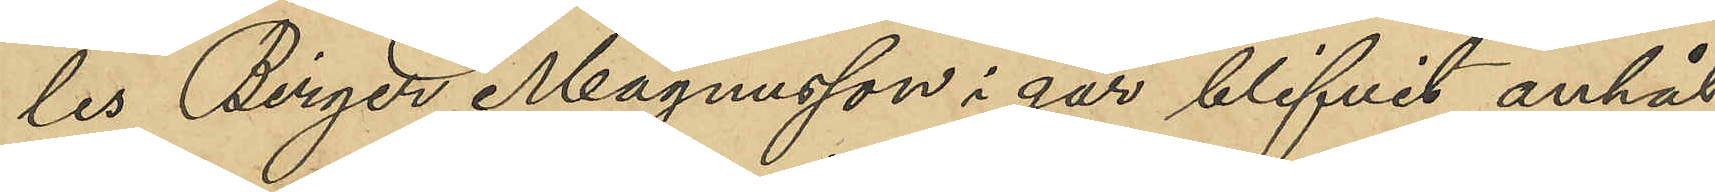les Birger Magnusson i går blifvit anhål¬
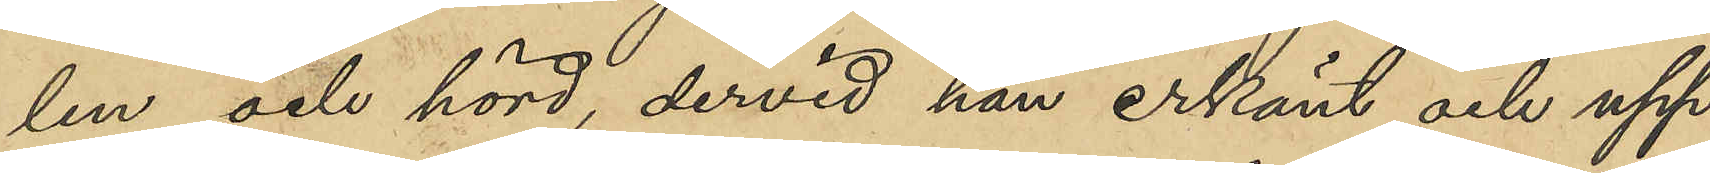len och hörd, dervid han erkänt och upp¬
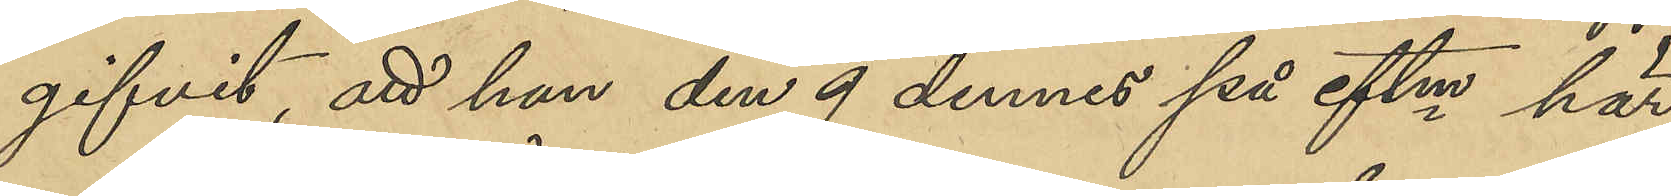gifvit, att han den 9 dennes på eftm här
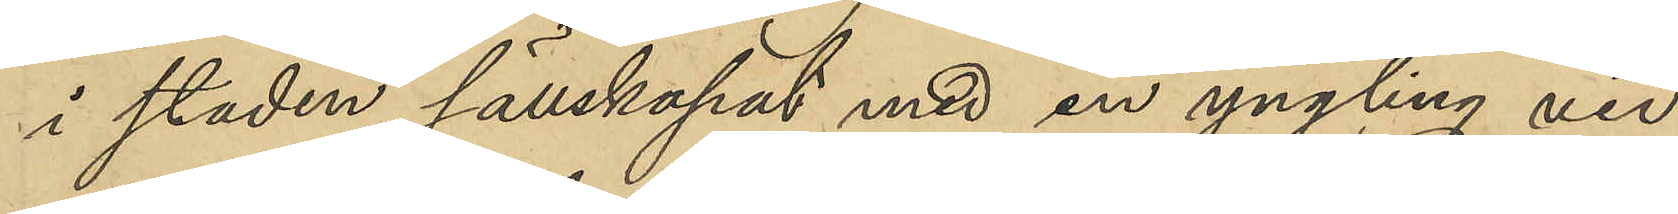i staden sällskapat med en yngling vid
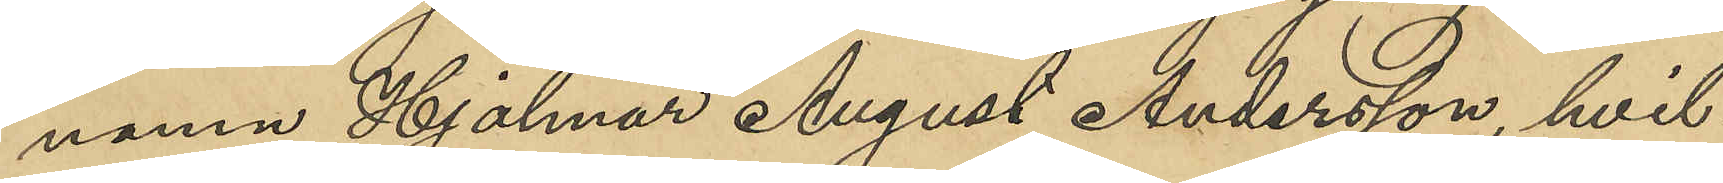namn Hjalmar August Andersson, hvil¬
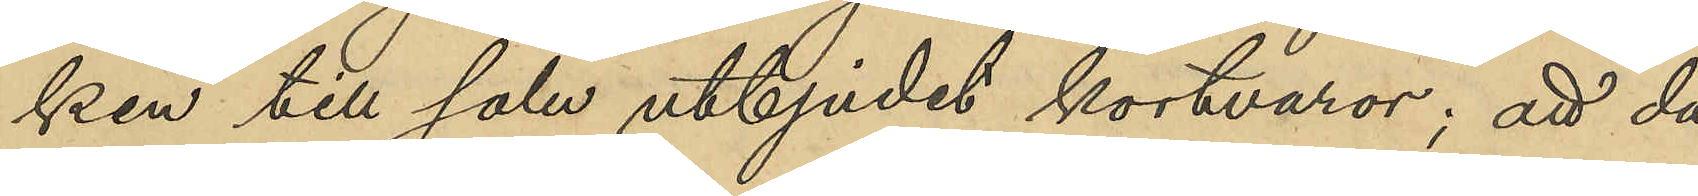ken till salu utbjudet kortvaror; att då
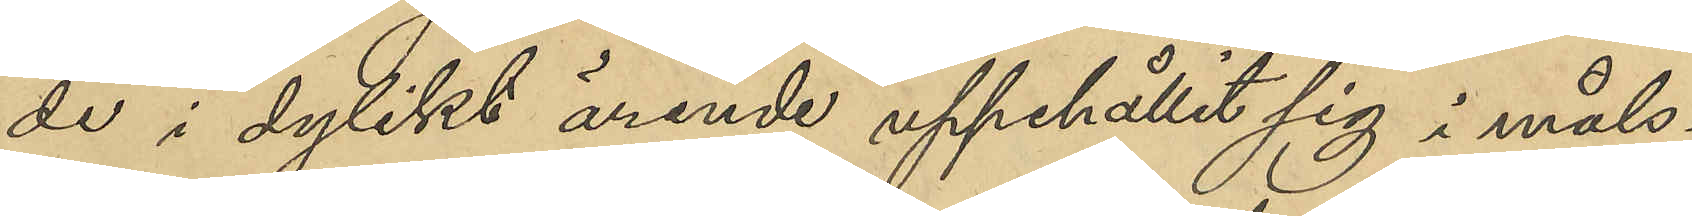de i dylikt ärende uppehållit sig i måls¬
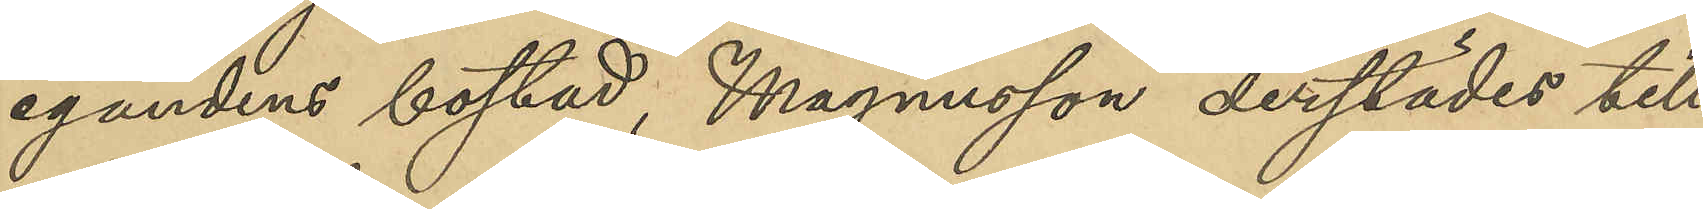egandens bostad, Magnusson derstädes till¬
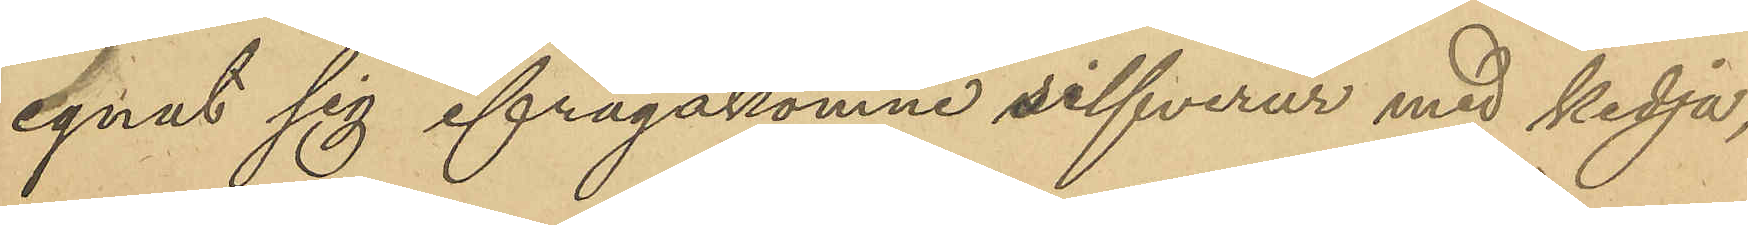egnat sig ifrågakomne silfverur med kedja;
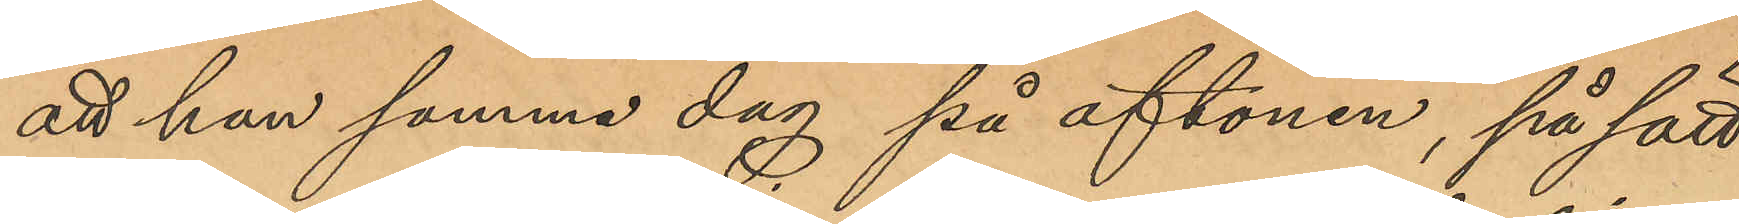att han samma dag på aftonen, på sätt
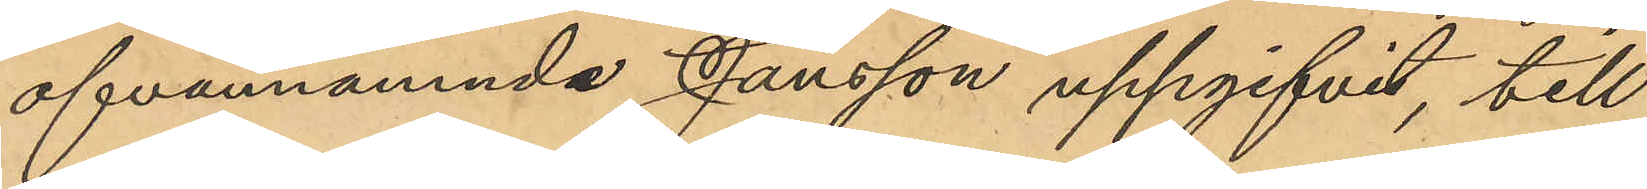ofvannämnde Jansson uppgifvit, till
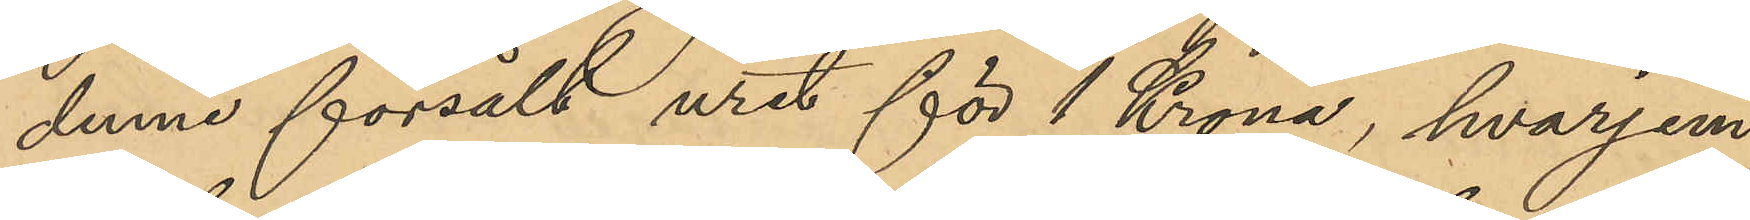denne försålt uret för 1 Krona, hvarjem¬
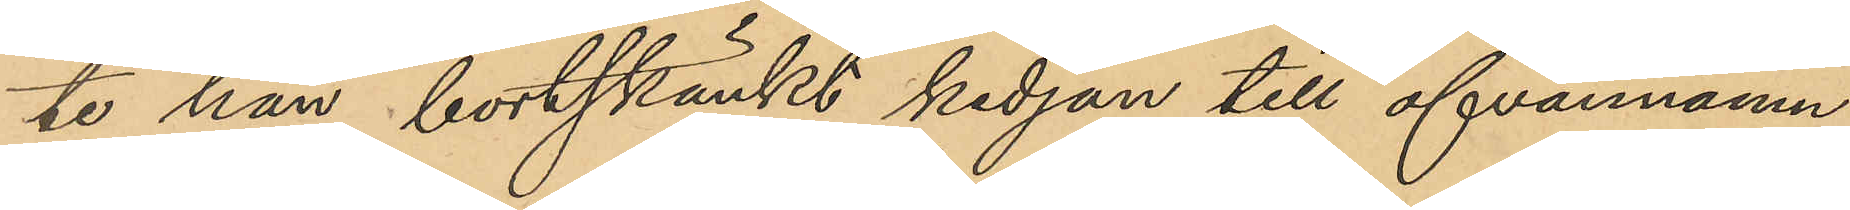te han bortskänkt kedjan till ofvannämn¬
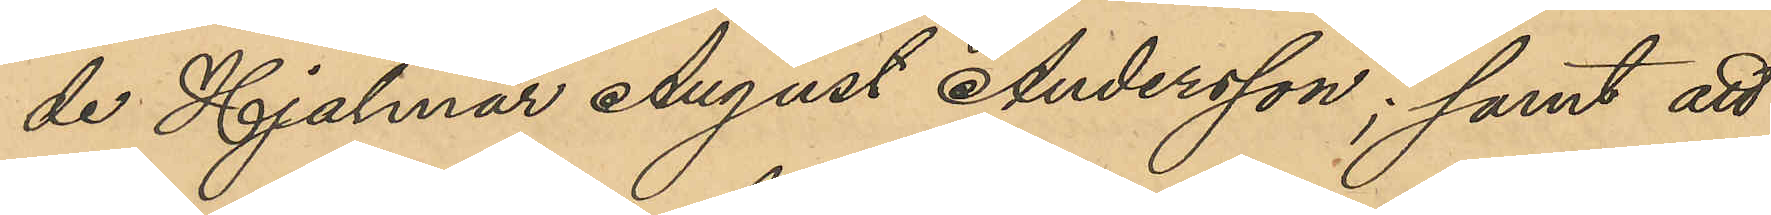de Hjalmar Andesson; samt att
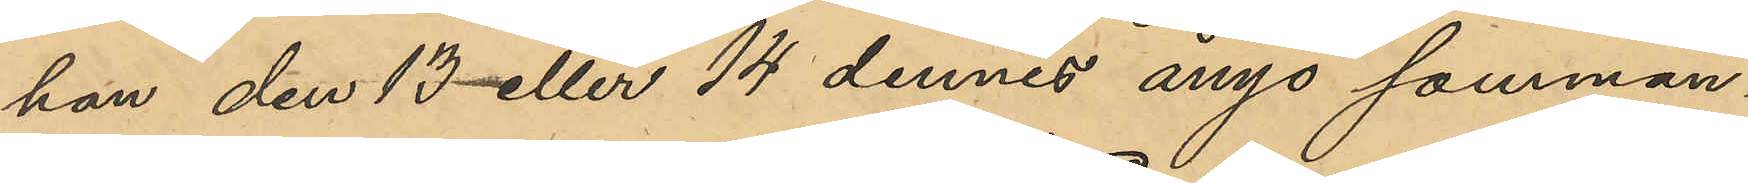han den 13 eller 14 dennes ånyo samman¬
